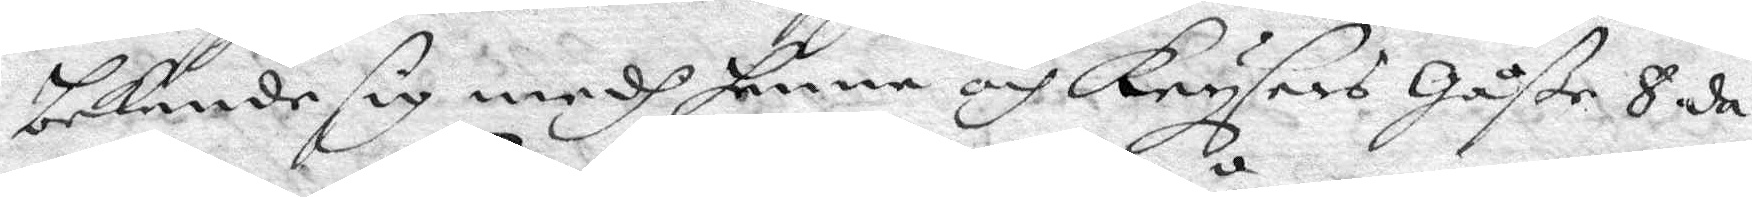bekende sig medh henne och Ktysers Gåße 8 da¬
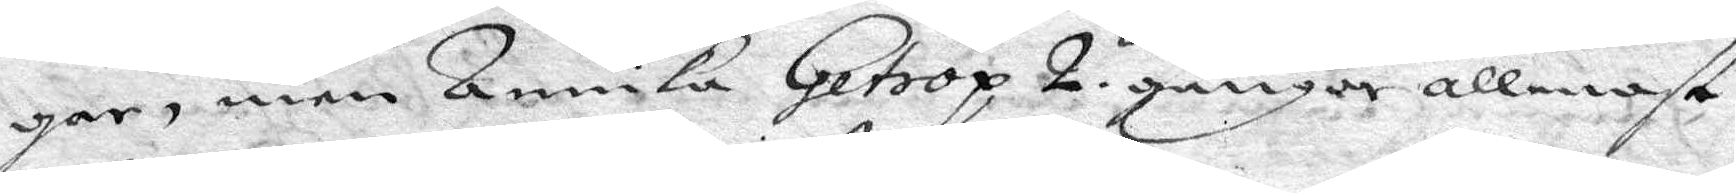gar, men Annika Getrop 2 gånger allenast
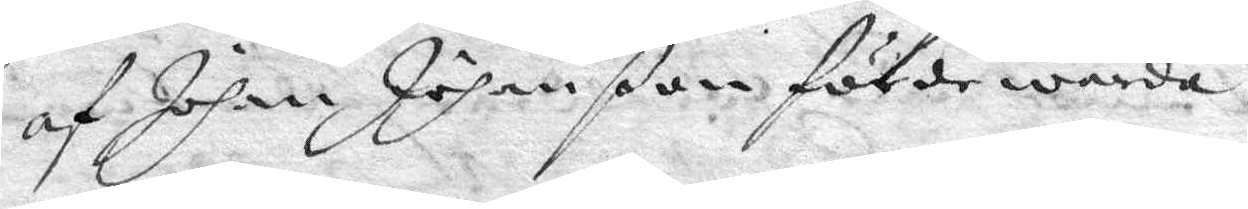af Johan Johanßon förde warda.
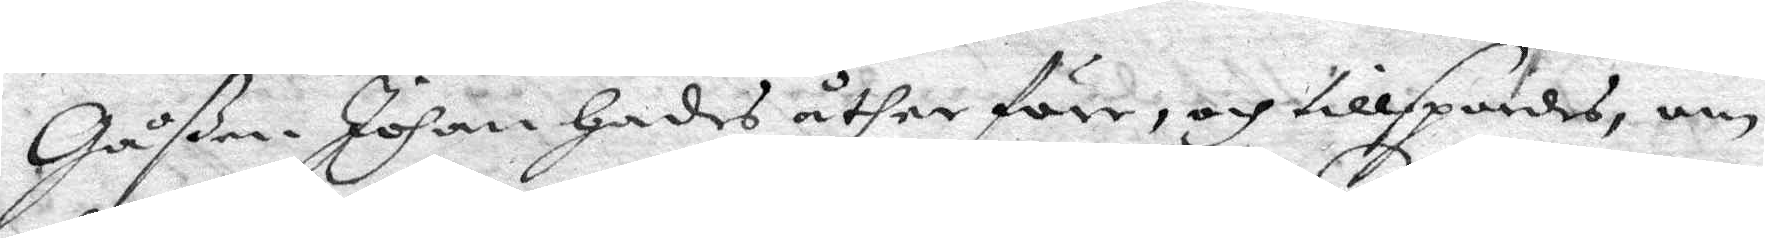Gåßen Johan Hades åther före, och tillspordes, om
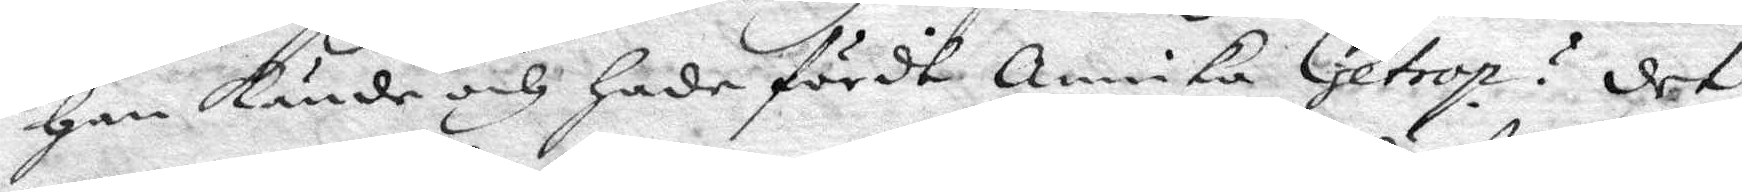Han kände och hade fördt Annika Getrop? det
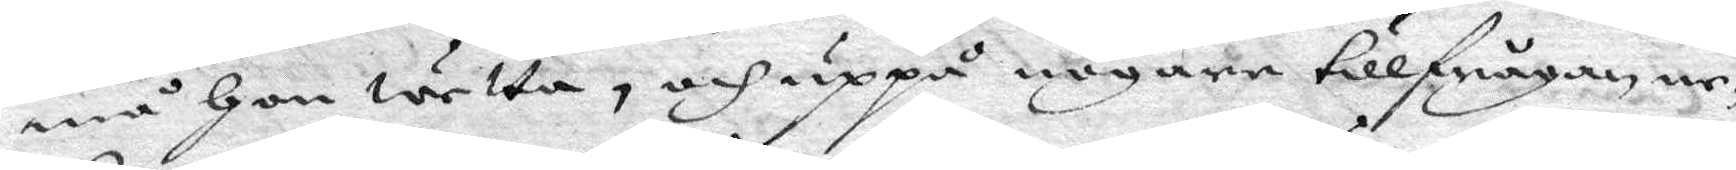må Hon wetta, och uppå nogare tillfrågan ne¬
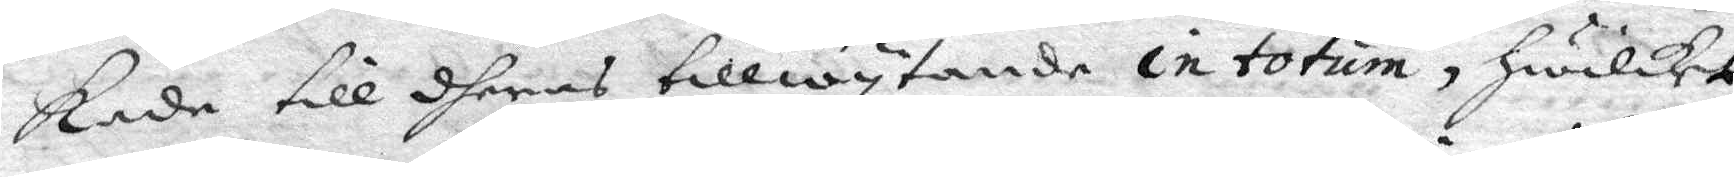kade till dheras tillwytande in tortum, Hwilket
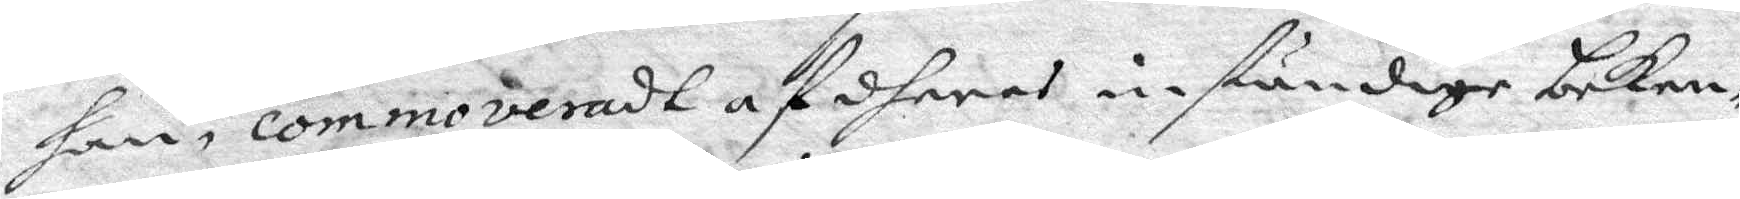han, commoveradt af dheras inständige beken¬
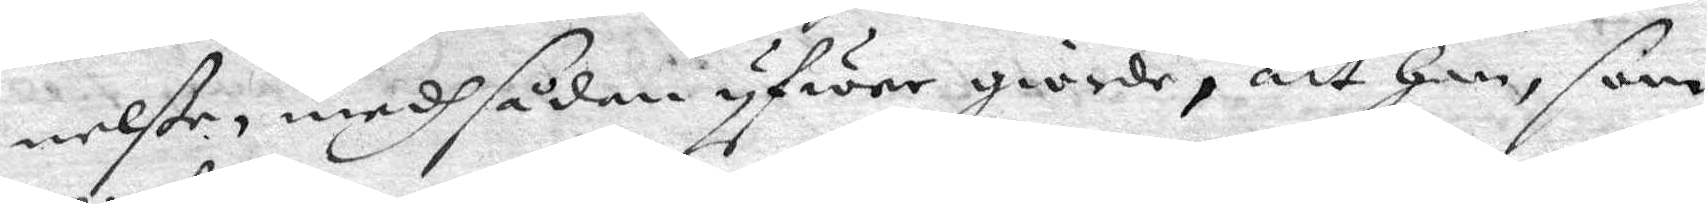nelße, medh sådan yfwer giorde, att han, som
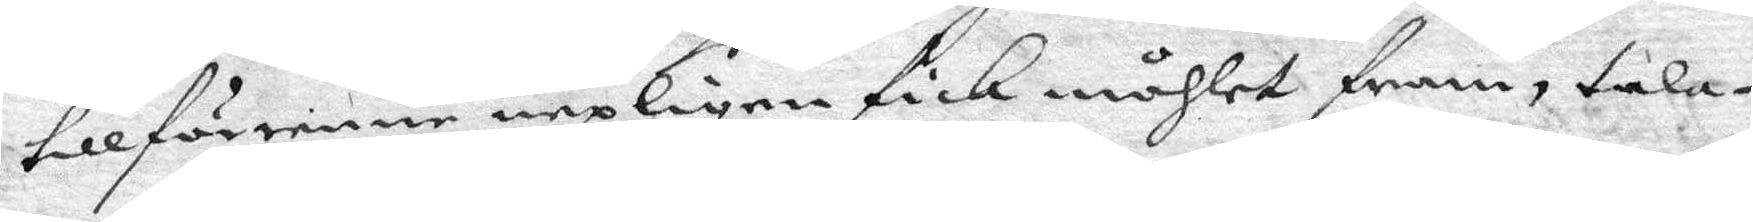tillförenne nepligen fick måhlet fram, tala¬
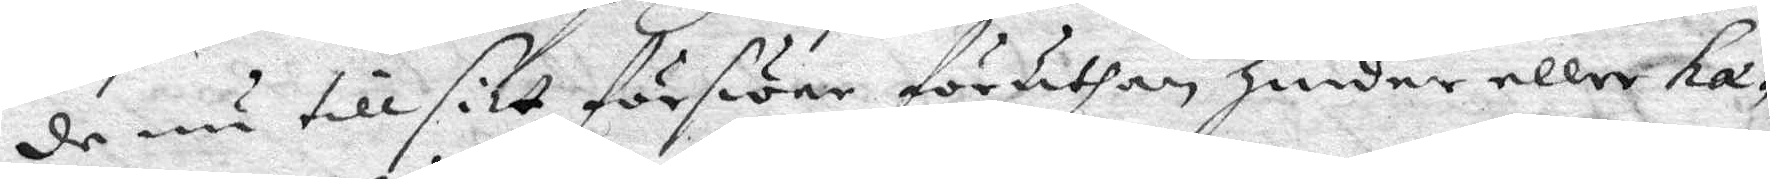de nu till sitt förswar föruthan Hinder eller ha¬
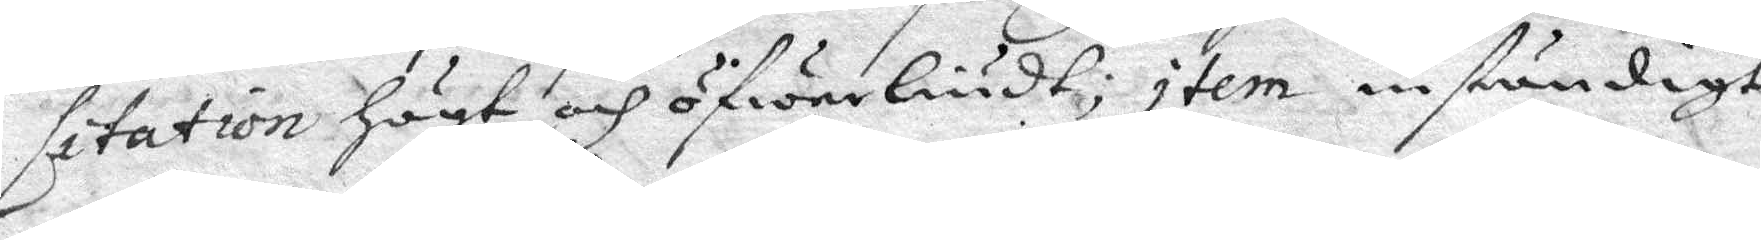litation Högt och öfwerliudt; item inständigt
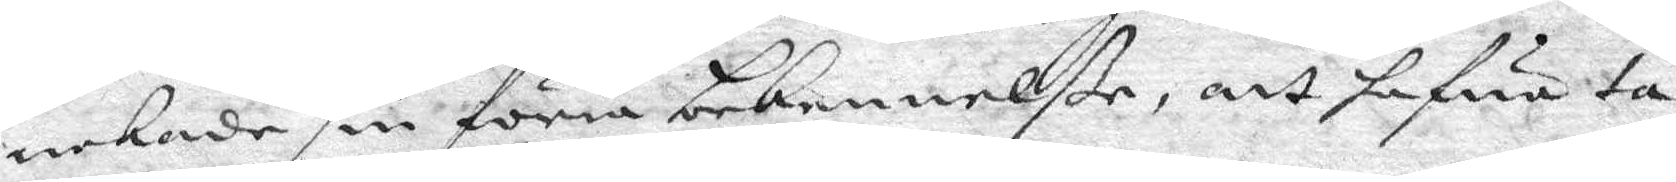nekade sin förra bekennelße, att hafwa ta¬
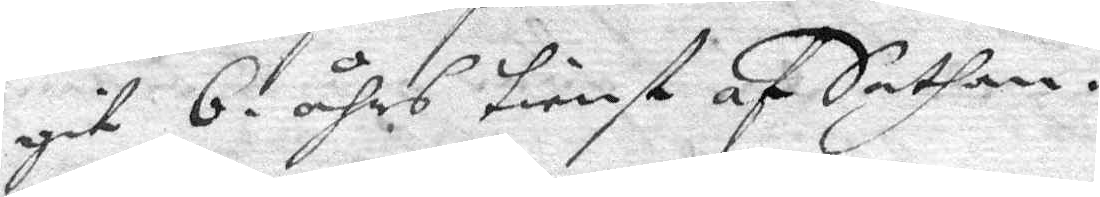git 6 åhrs tienst af Satan.
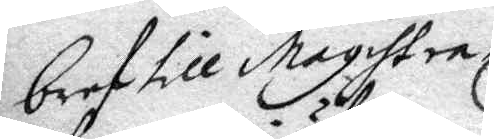bref till magistra¬
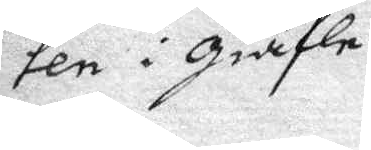ten i Giäfle.
